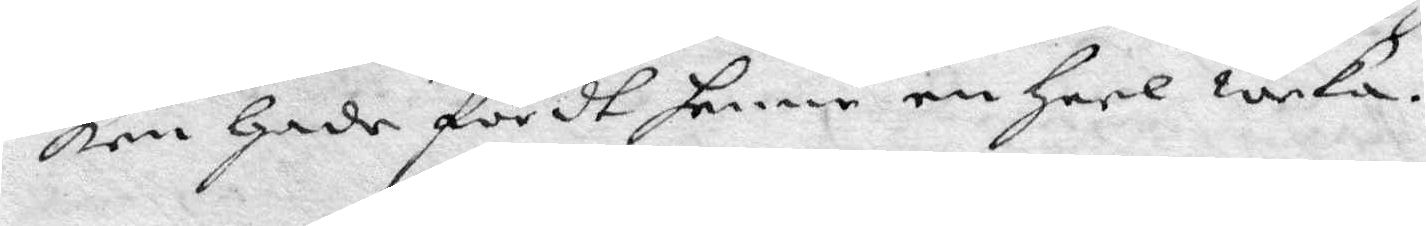ken hade fördt henne en heel weka.
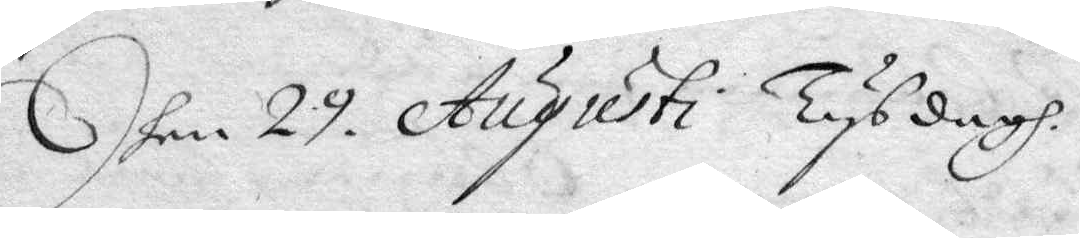Dhen 29 Augusti Tysdagh.
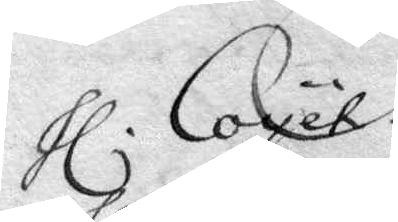hl. Coyet.
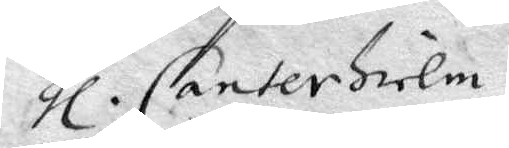hl. Canterhielm.
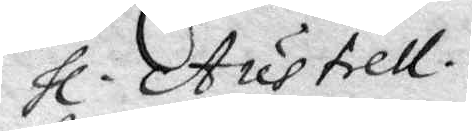hl. Austrell.
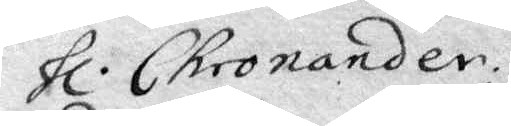hl. Chronander.
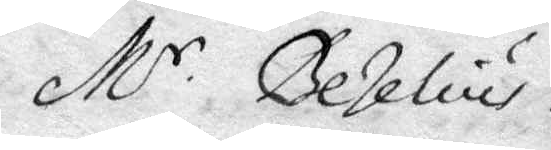M.r Bezelius.
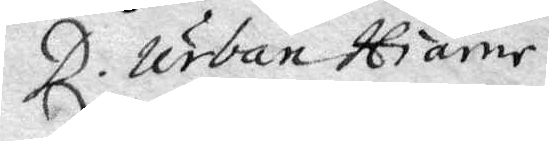D. Urban Hiärne.
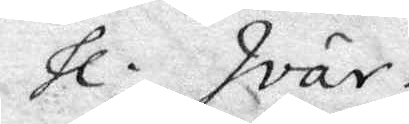hl. Ivar.
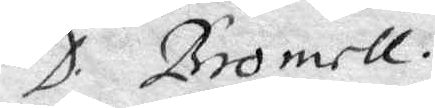D. Bromell.
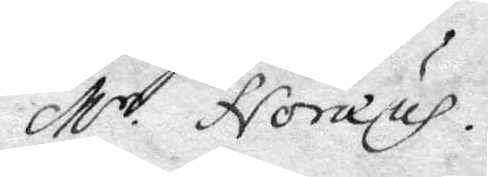M.r Norærus.
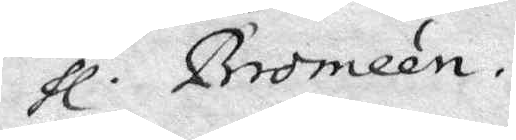hl. Broméen.
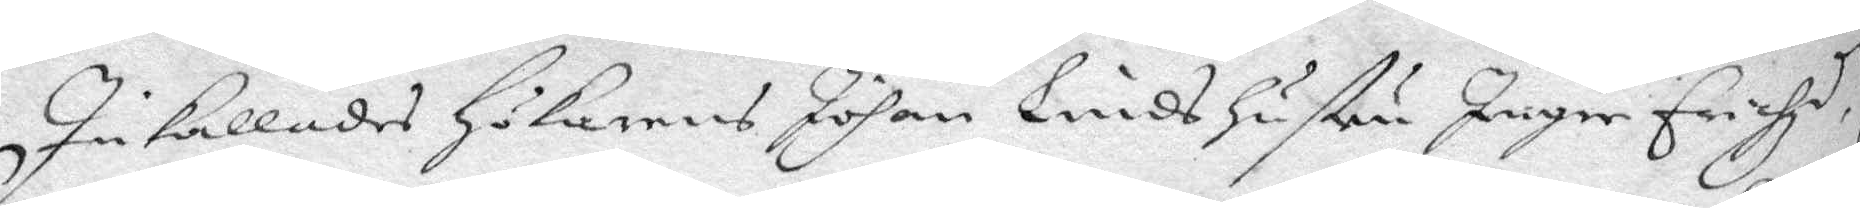Inkallades Hökarens Johan Linds hustru Ingre Erichzd.r
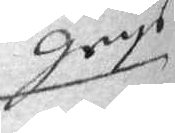grys
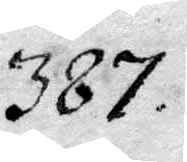387.
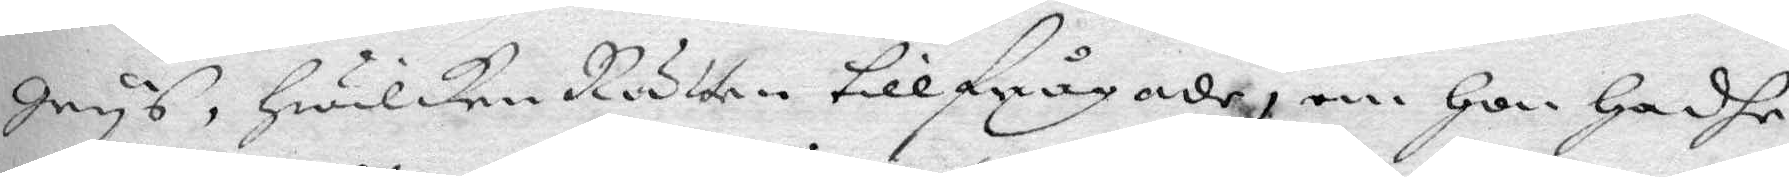grys, hwilken Rätten tillfrågade om hon hadhe
